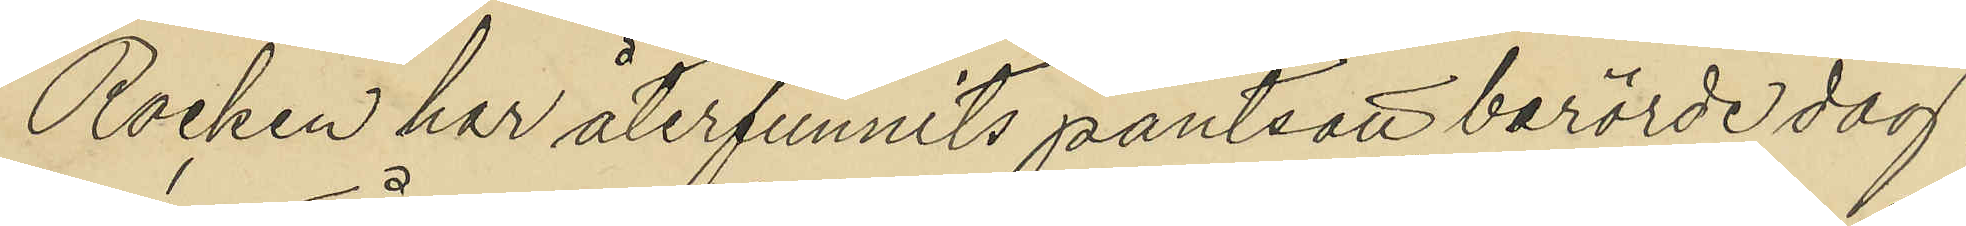Rocken har återfunnits pantsatt berörde dag
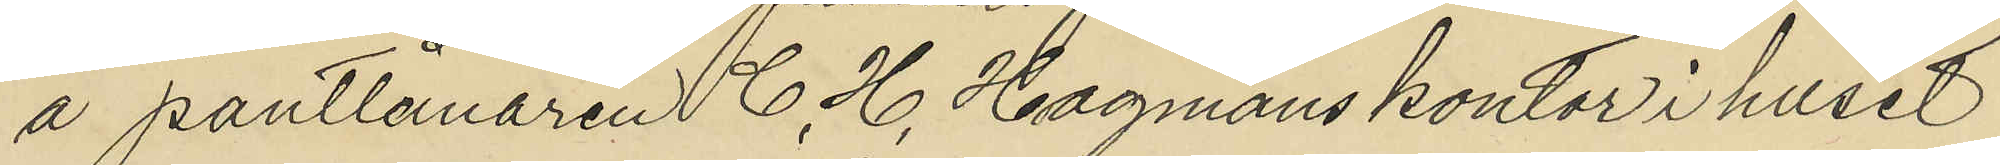å pantlånaren C. H. Hagmans kontor i huset
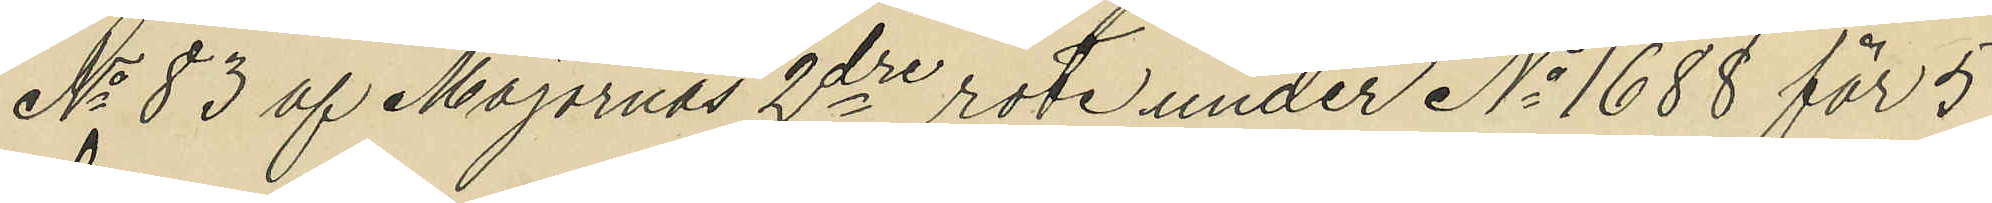No 83 af Majornas 2dre rote under No 1688 för 5
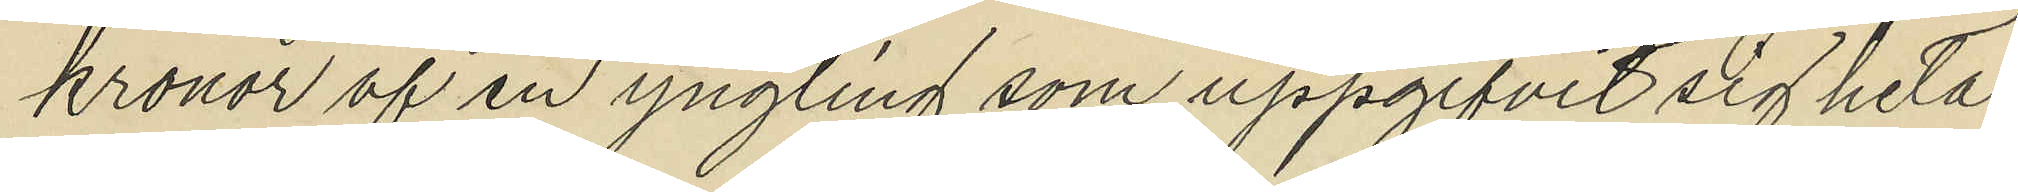kronor af en yngling som uppgifvit sig heta
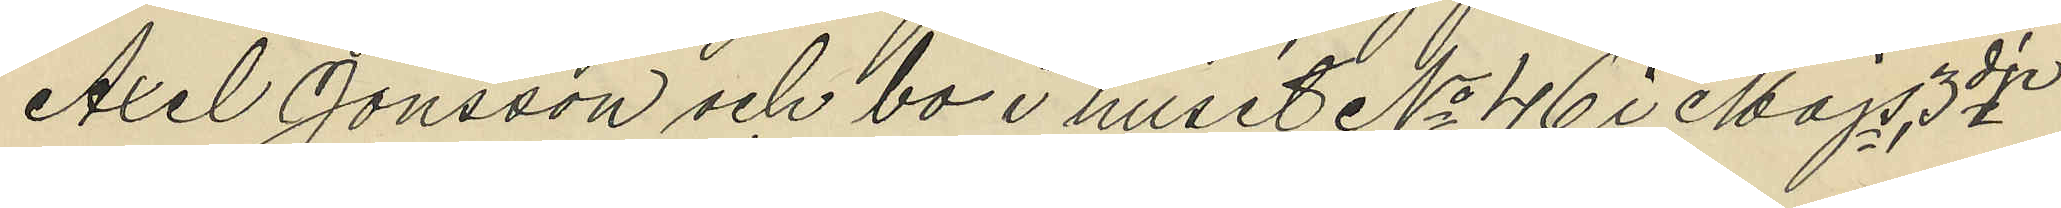Axel Jonsson och bo i huset No 46 i Majs 3dje
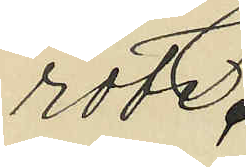rote.
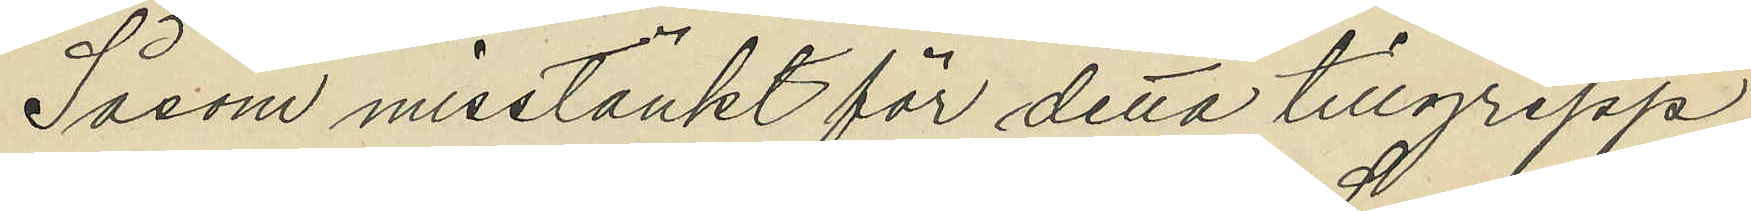Såsom misstänkt för detta tillgrepp
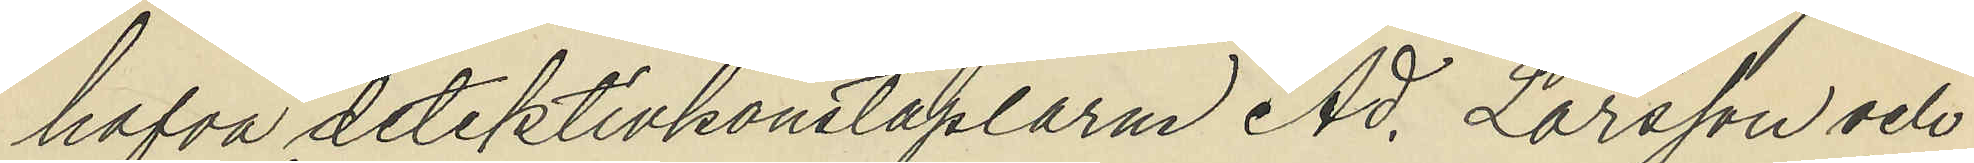hafva detektivkonstaplarn Ad. Larsson och
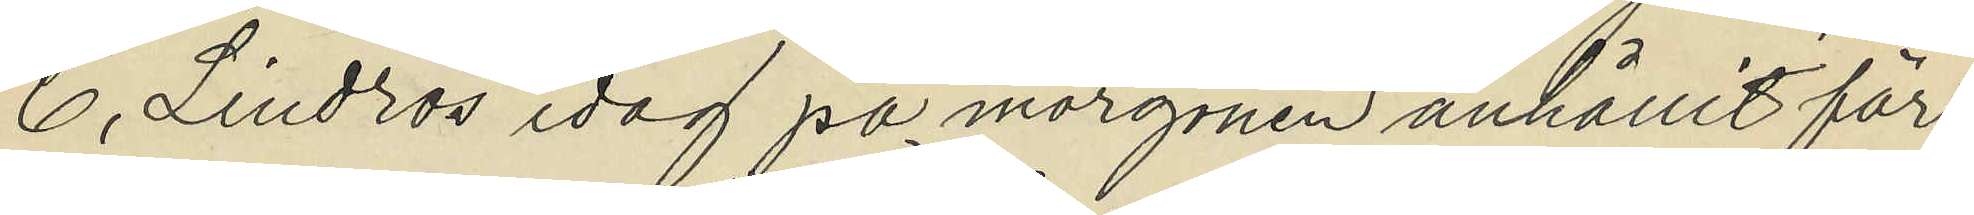C. Lindros idag på morgonen anhållit för
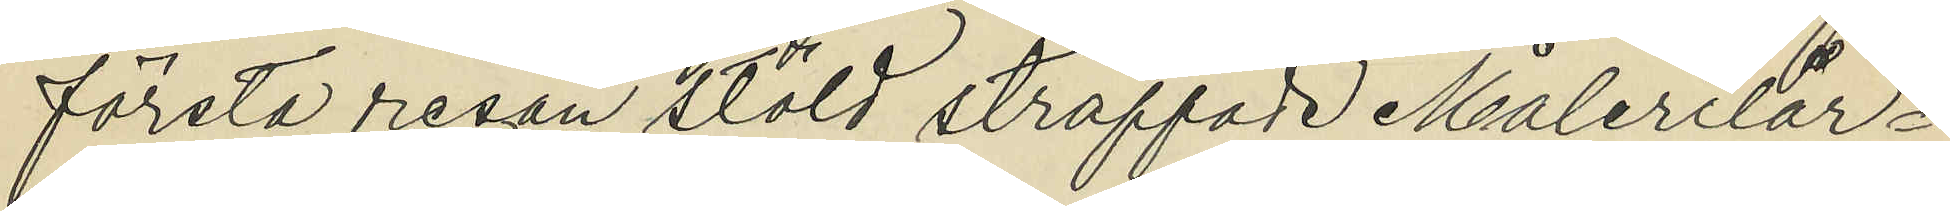första resan stöld straffade Målerilär¬
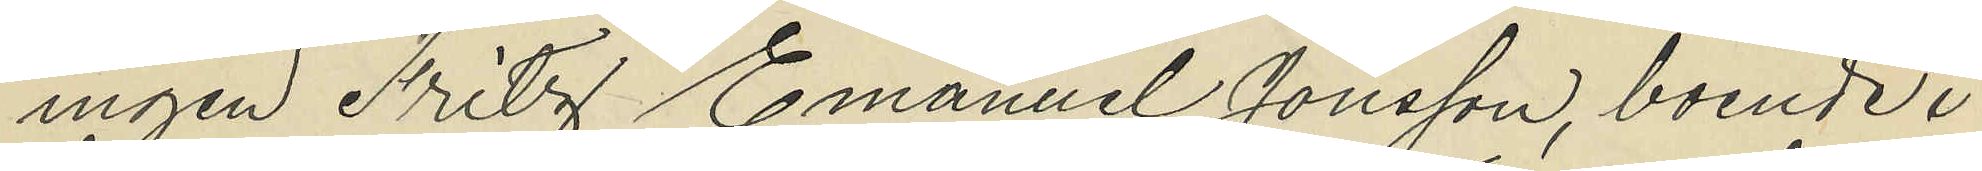ingen Fritz Emanuel Jonsson, boende i
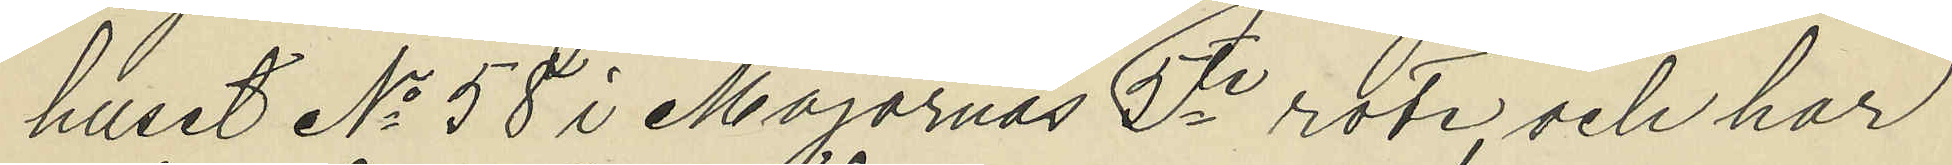huset No 58 i Majornas 5te rote, och har
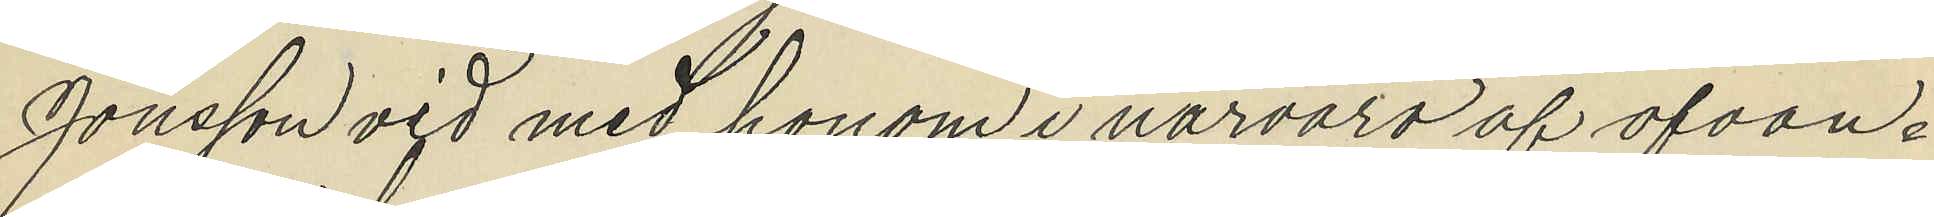Jonsson vid med honom i närvaro af ofvan¬
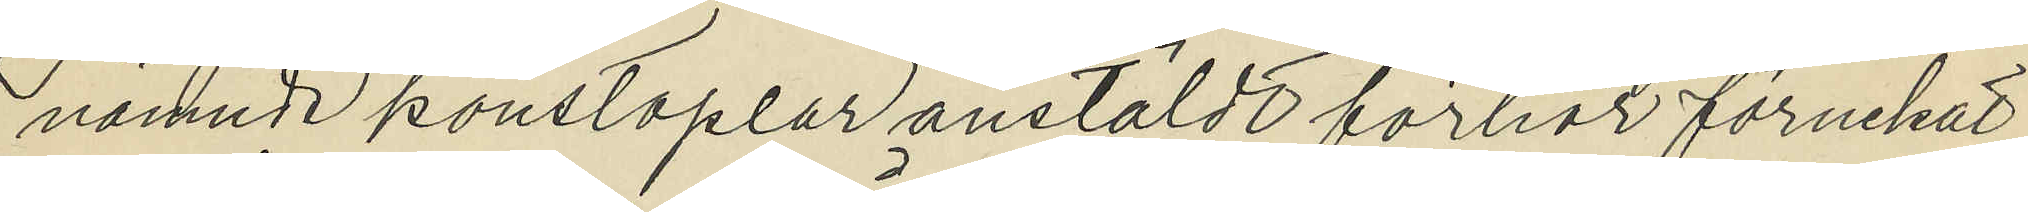nämnde konstaplar anstäldt förhör förnekat
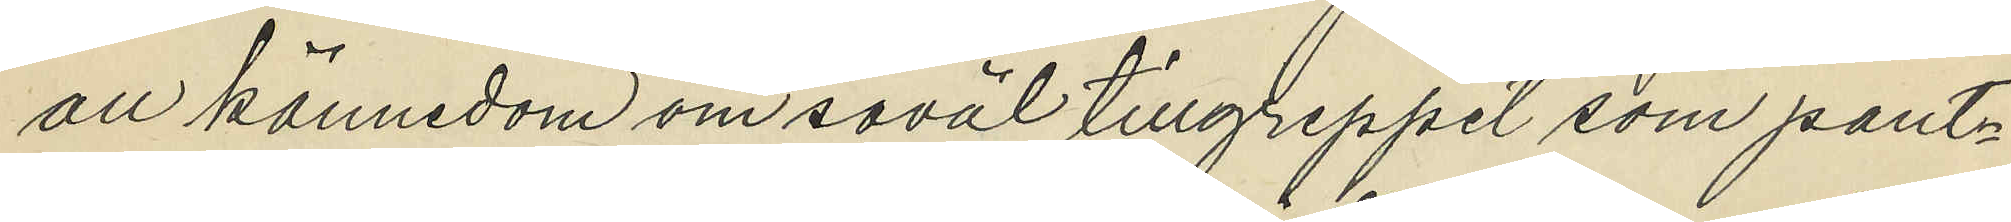all kännedom om såväl tillgreppet som pant¬
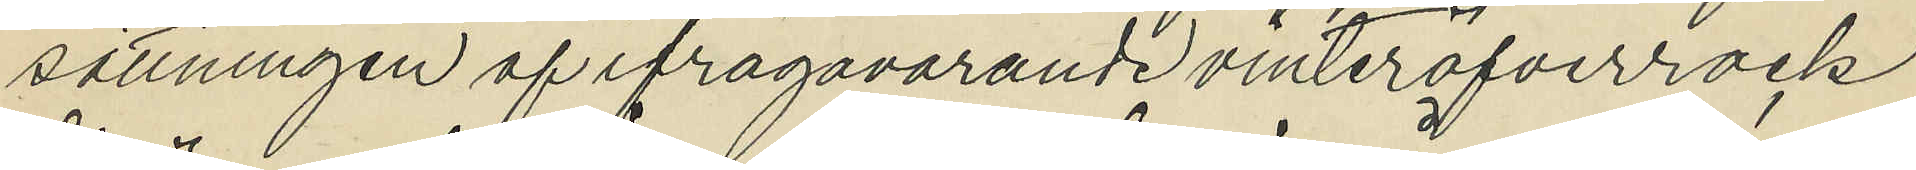sättningen af ifrågavarande vinteröfverrock
